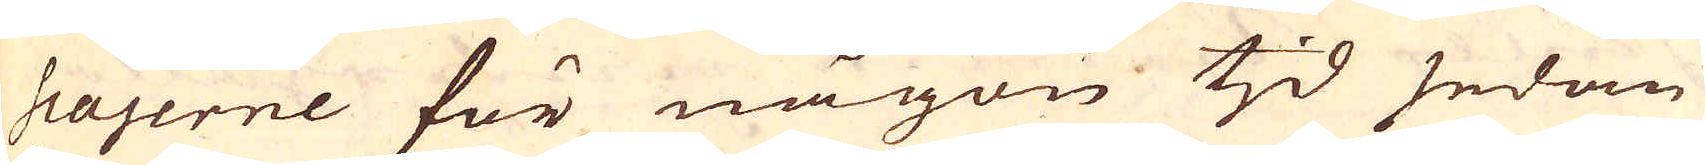scajerne för någon tjd sedan
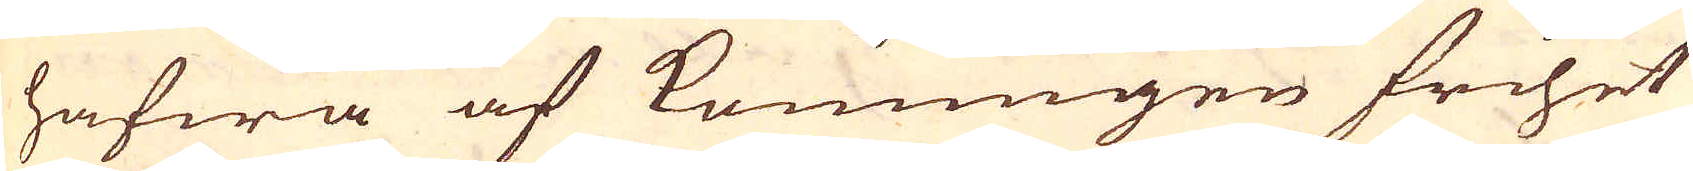hafwa af Konungen frihet
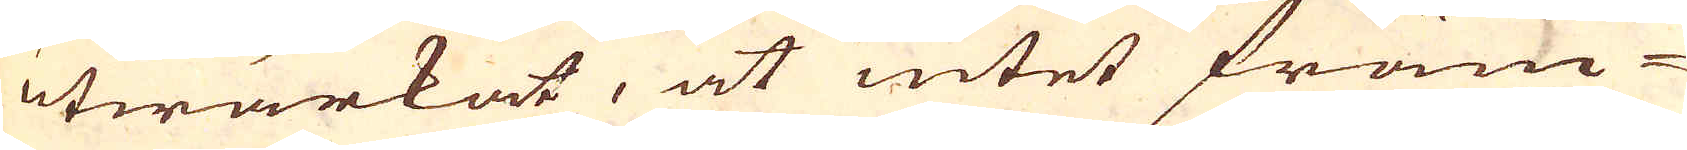utwärkat, at intet främ-
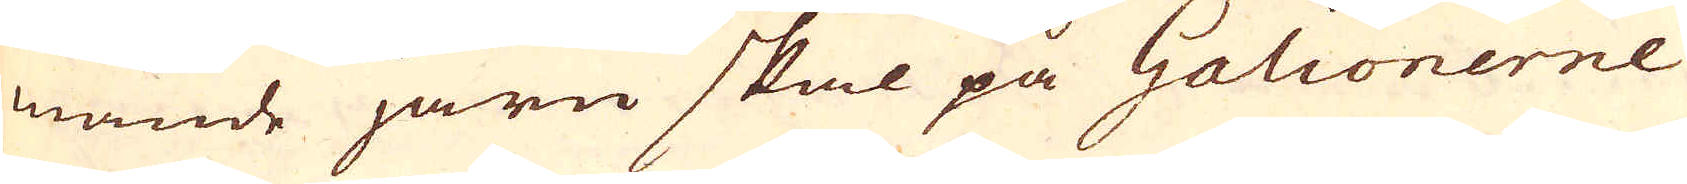mande järn skal på Galionerne
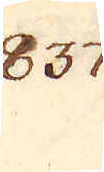837.
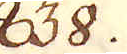838.
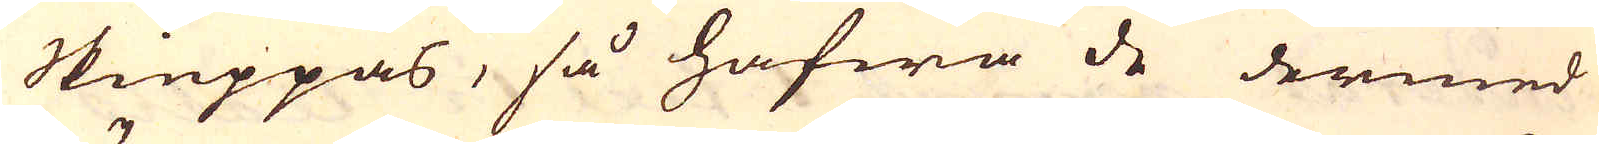skieppas, så hafwa de dermed
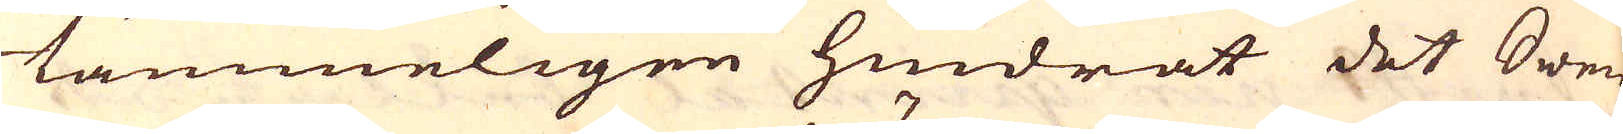tämmeligen hindrat det Swen-
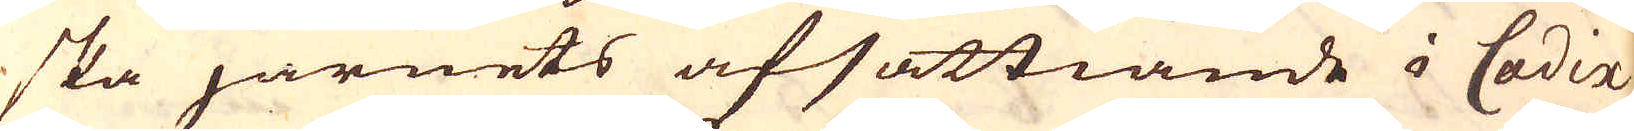ska järnets afsättiande i Cadix,
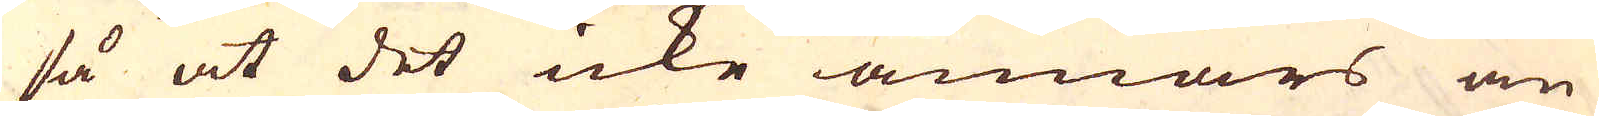så at det icke annars än
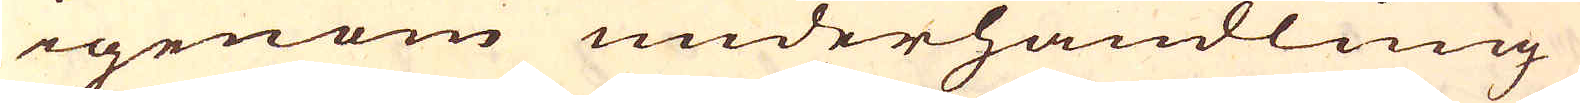igenom underhandling
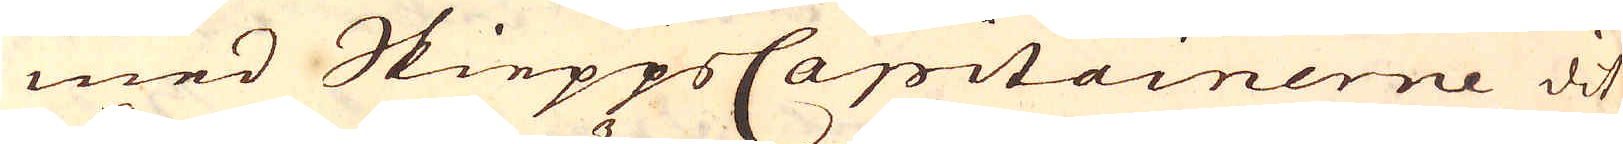med SkieppsCapitainerne dit
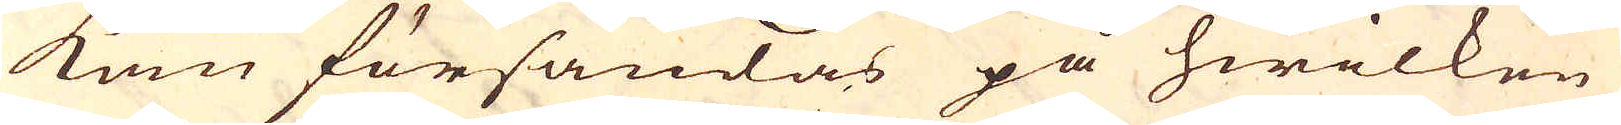kan försändas på hwilken
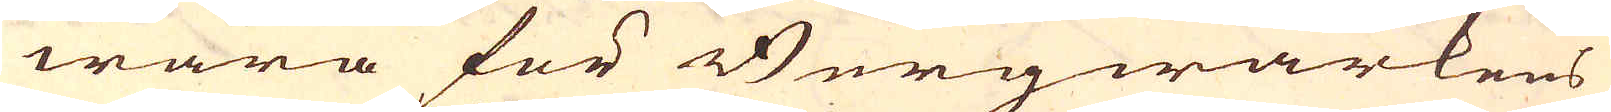wara för Bergwärkens
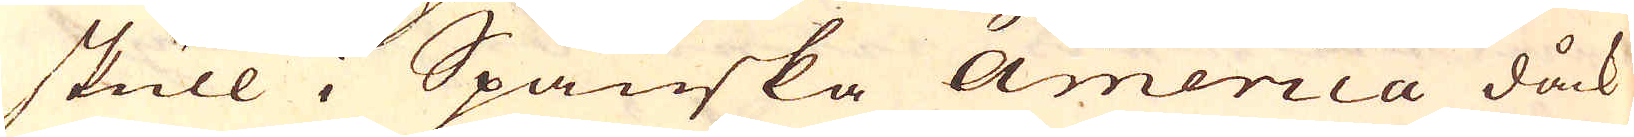skull i Spanska America dåck
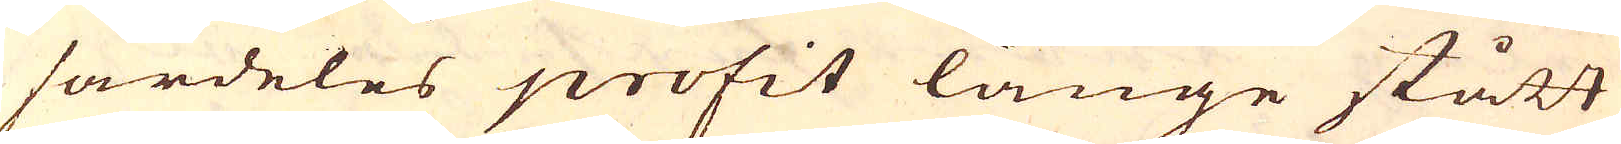särdeles profit länge stått
